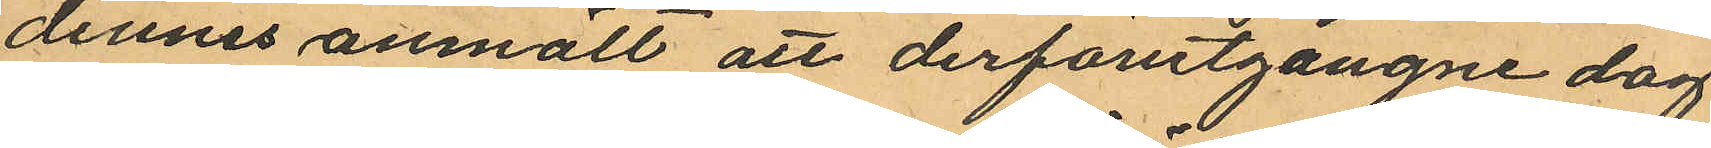dennes anmält att derförutgångne dag
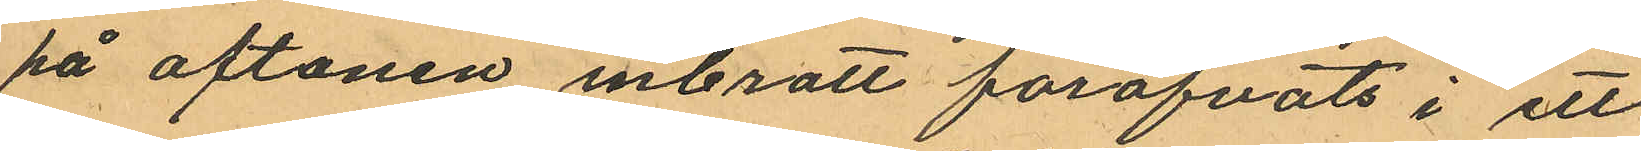på aftonen inbrott föröfvats i ett
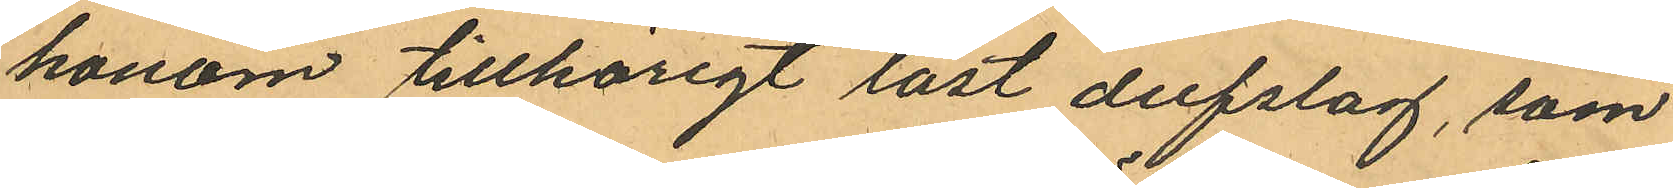honom tillhörigt låst dufslag, som
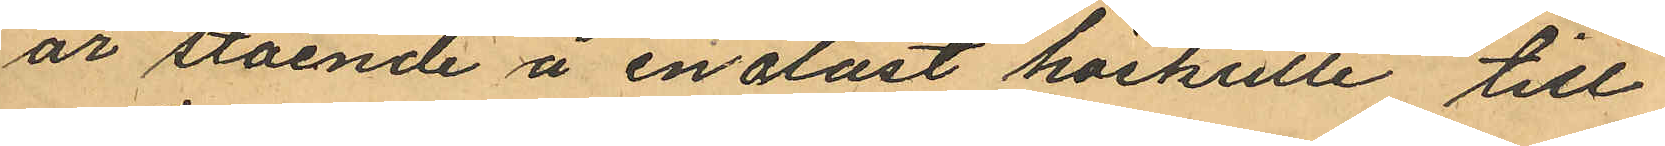är stående å en olåst höskulle till
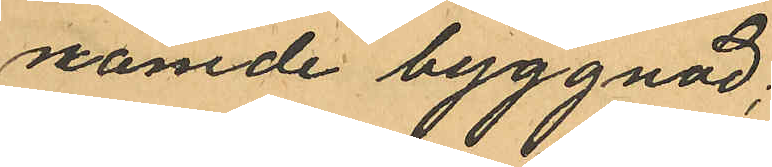nämde byggnad;
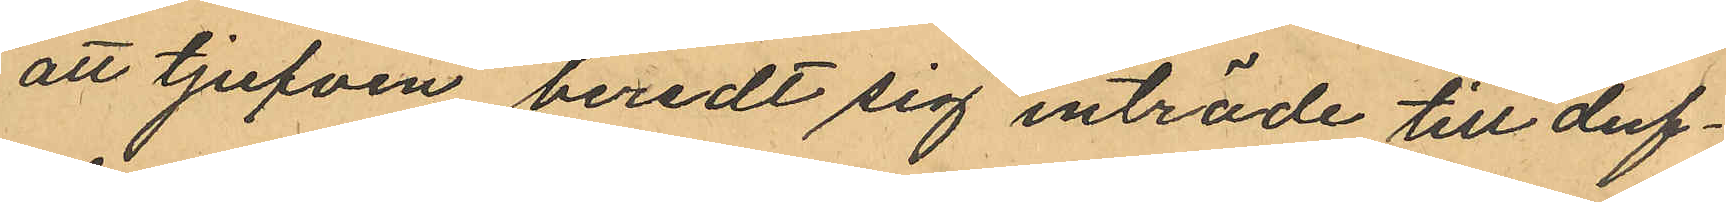att tjufven beredt sig inträde till duf¬
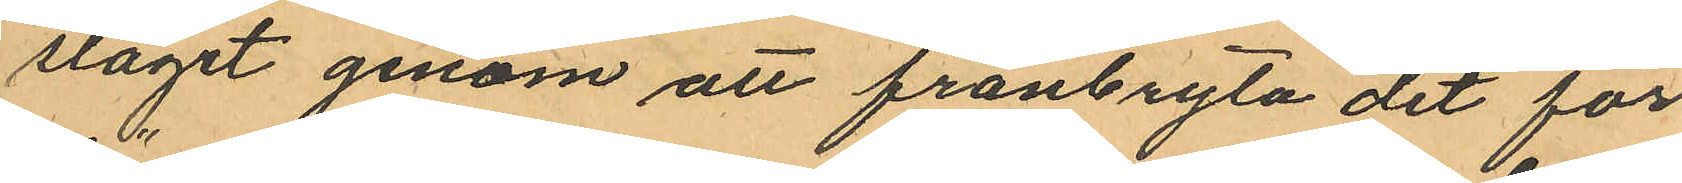slaget genom att frånbryta det för
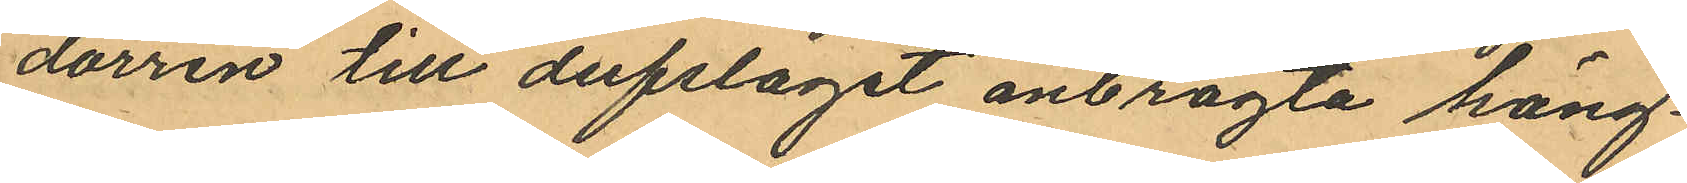dörren till dufslaget anbragta häng¬
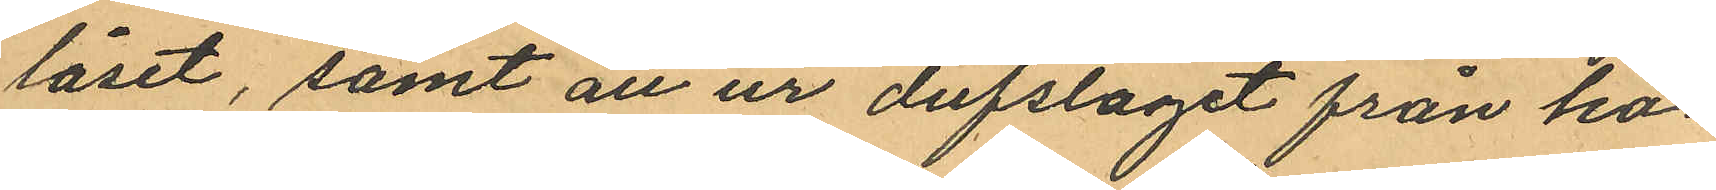låset, samt att ur dufslaget från ho¬
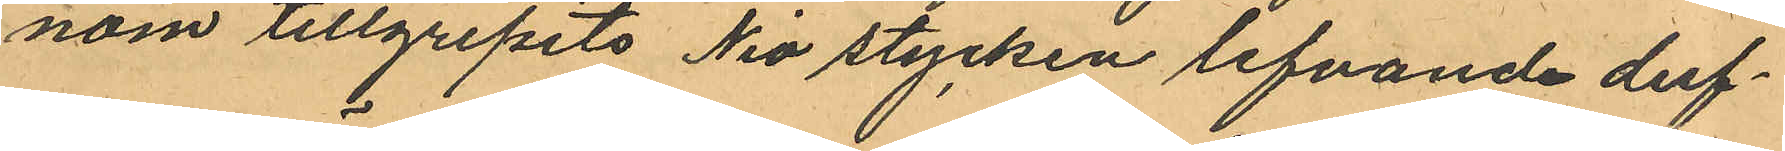nom tillgripits Nio stycken lefvande duf¬
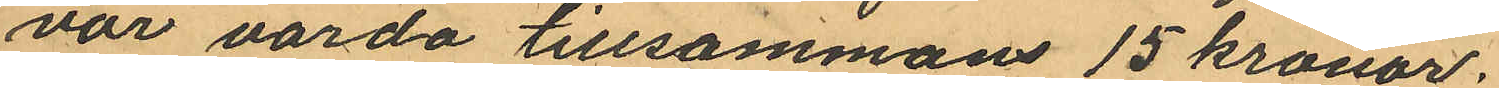vor värda tillsammans 15 kronor.
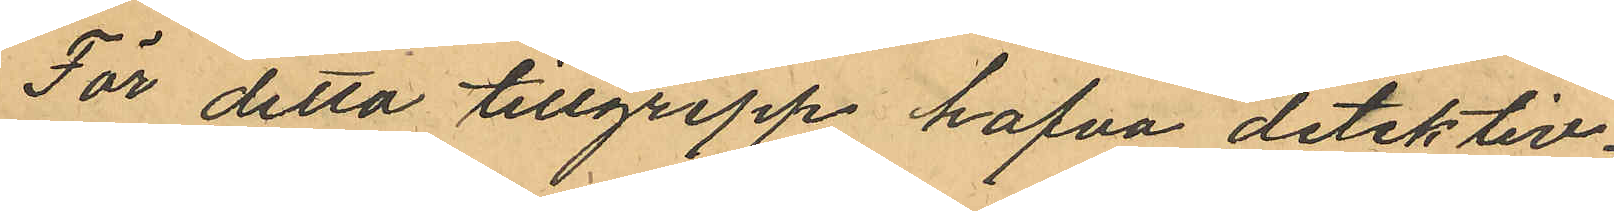För detta tillgrepp hafva detektiv¬
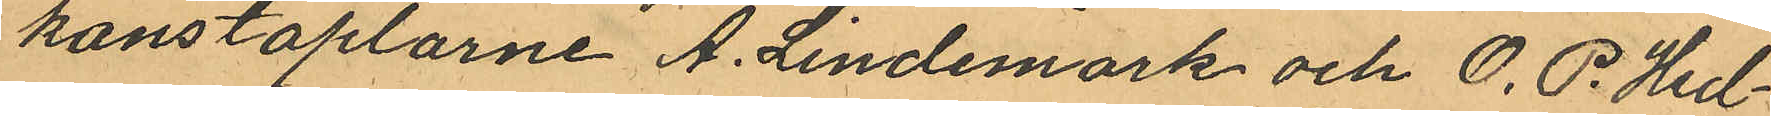konstaplarne A. Lindemark och O. P. Hed¬
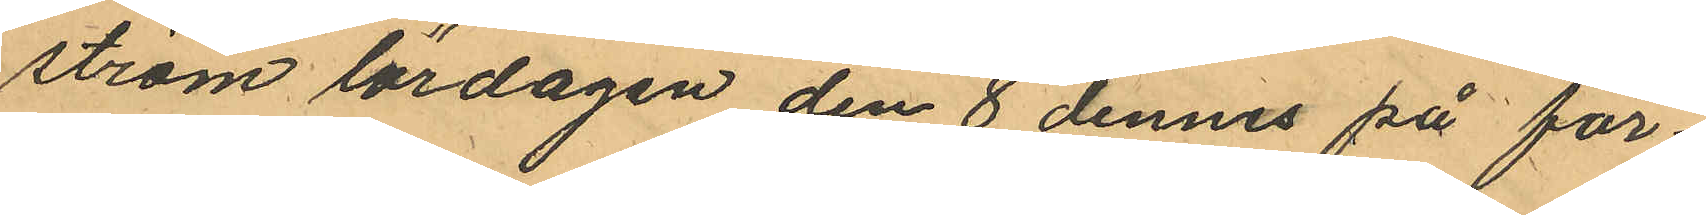ström lördagen den 8 dennes på för¬
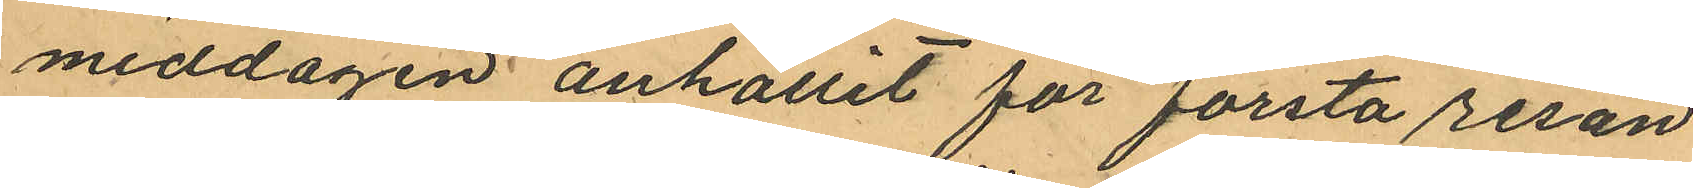middagen anhållit för första resan
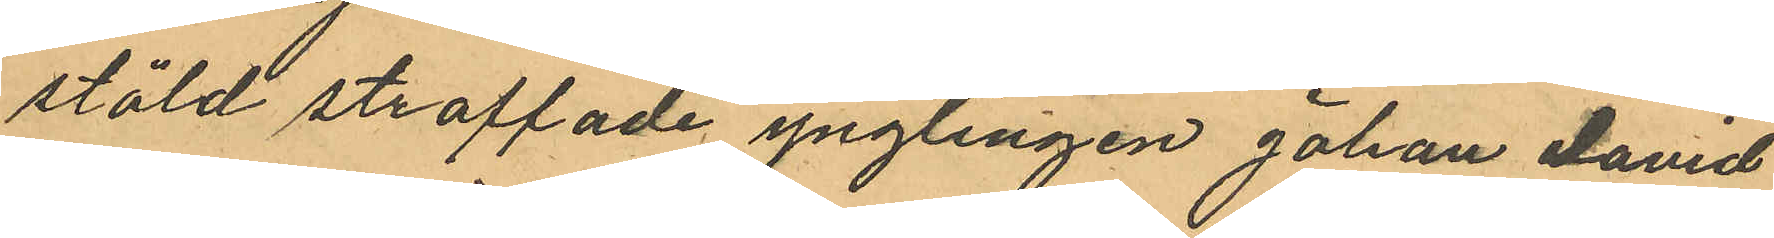stöld straffade ynglingen Johan David
